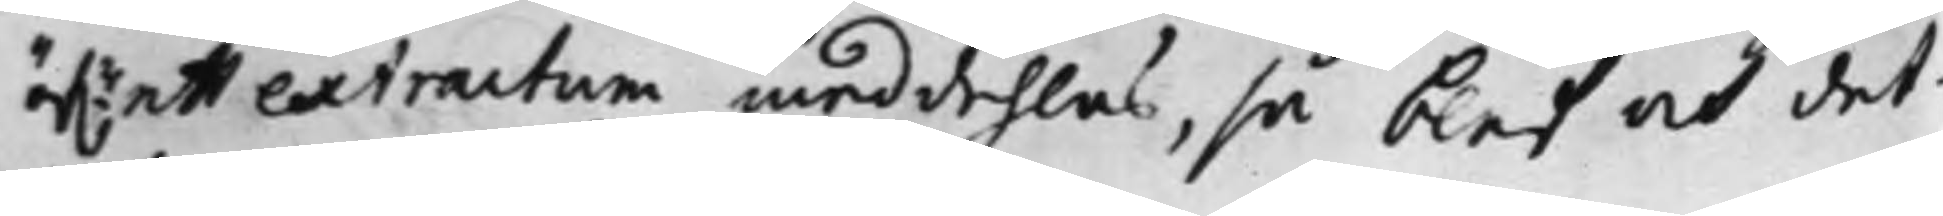öf.r ett extractum meddehlas, så blef och det¬
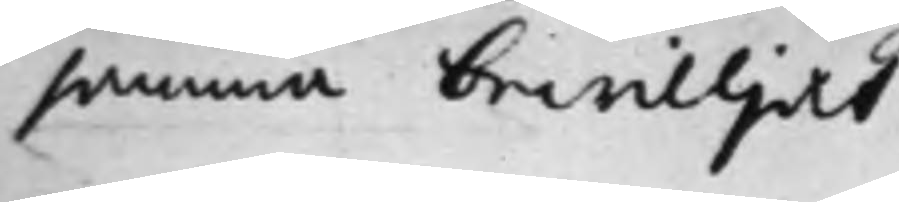samma bewiljat.
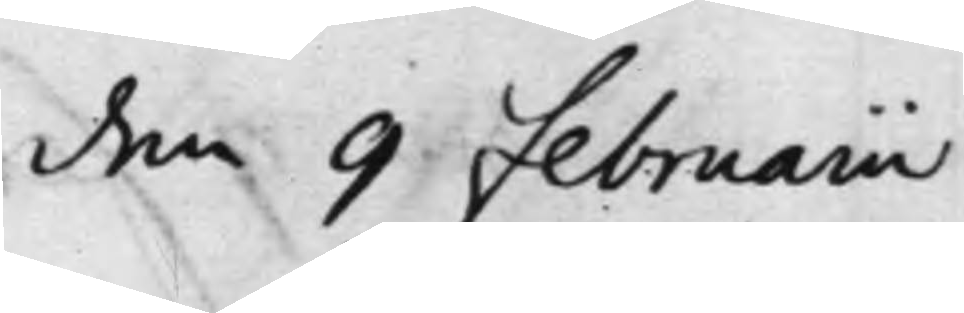den 9 Februarii
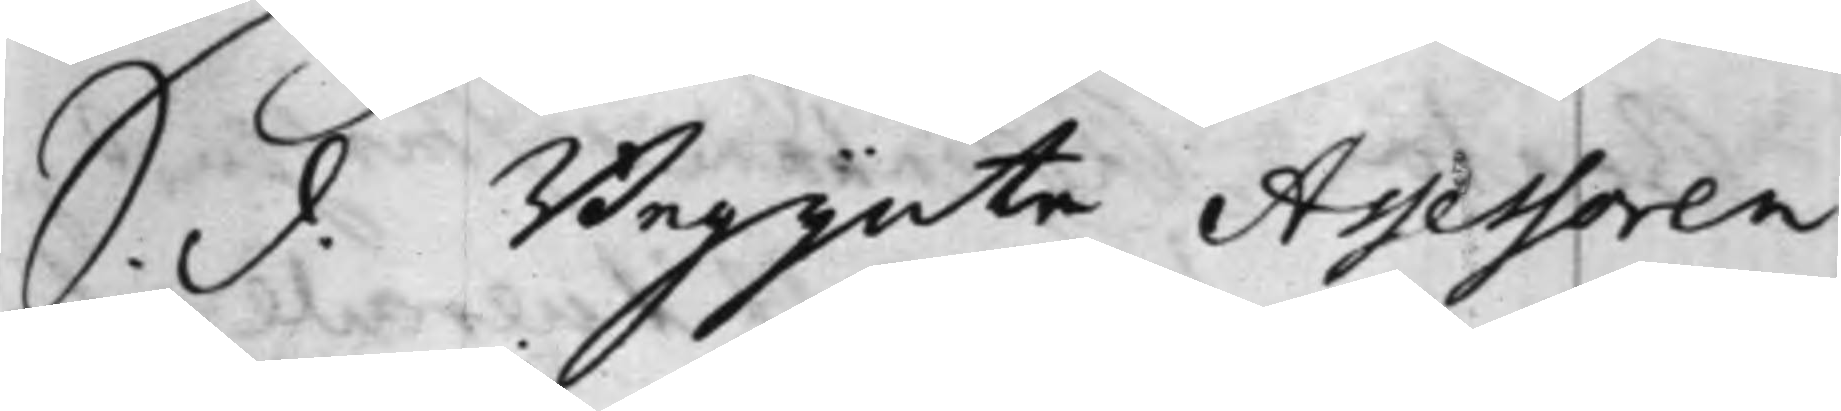S. d. Begynte Assessoren
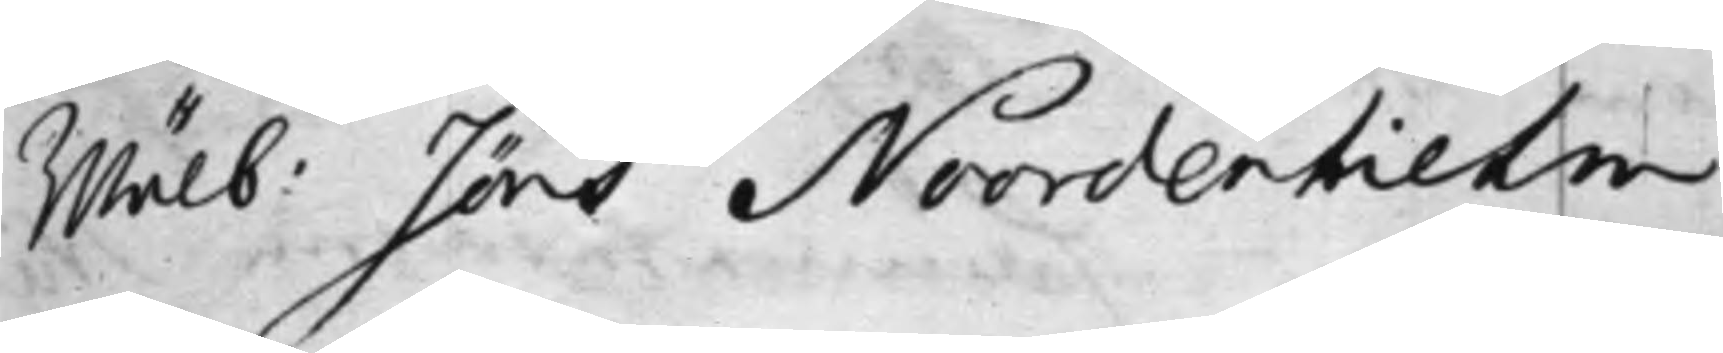Wälb: Jöns Noordenhielm,
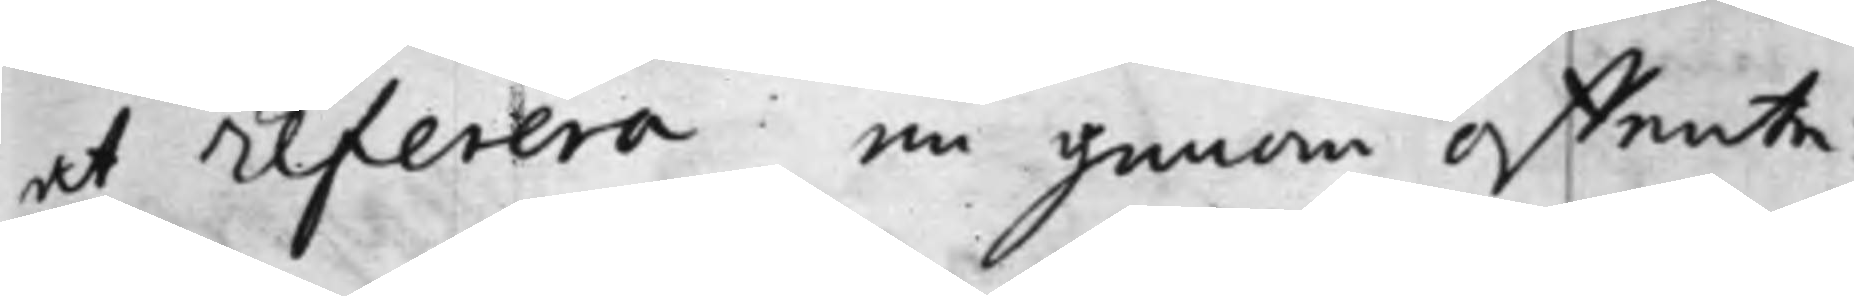at Referera en genom offente¬
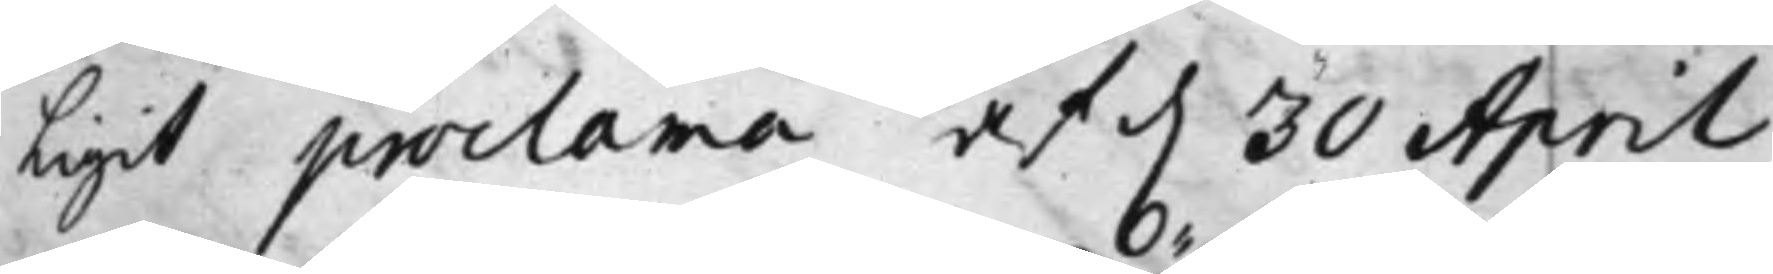ligit Proclama af d. 30 April
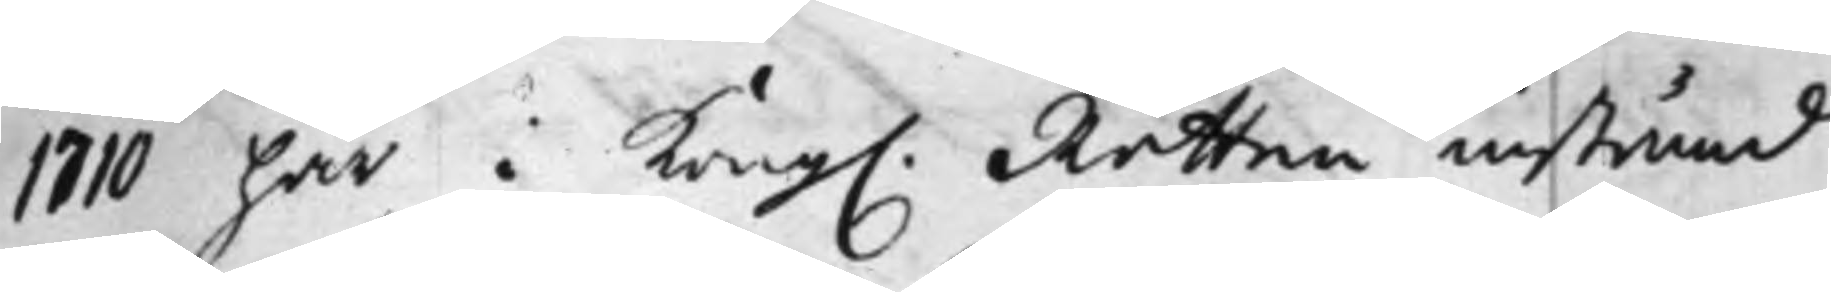1710 här i Kong. Rätten instämd
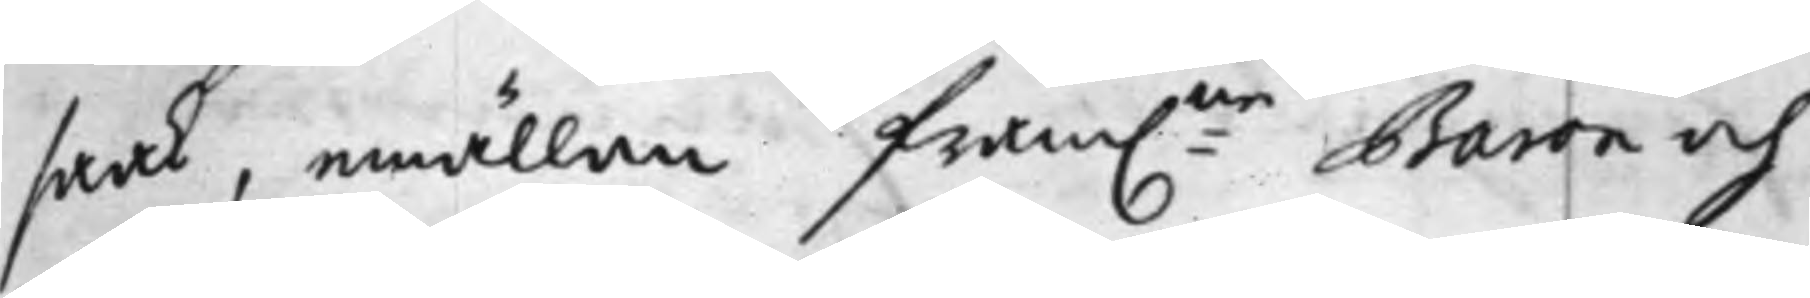saak, emällan fram:ne Baron och
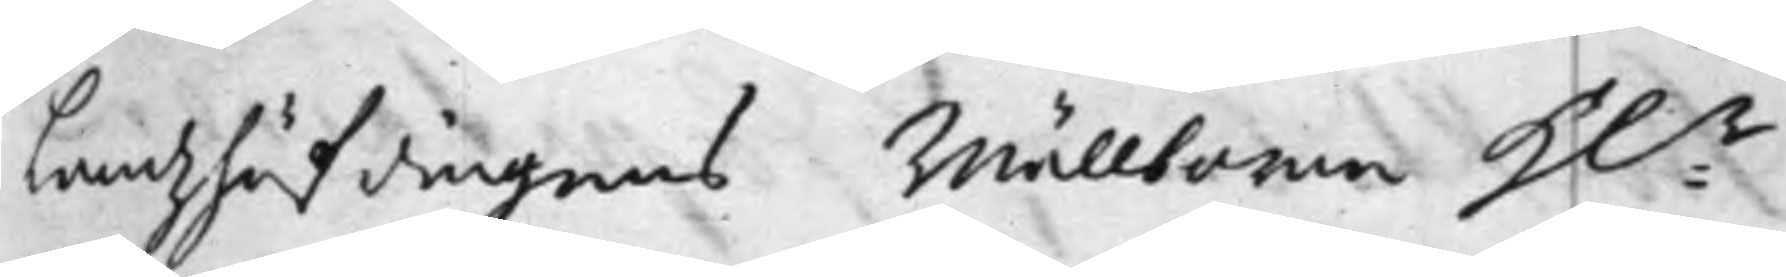Landzhöfdingens Wällborne H:r
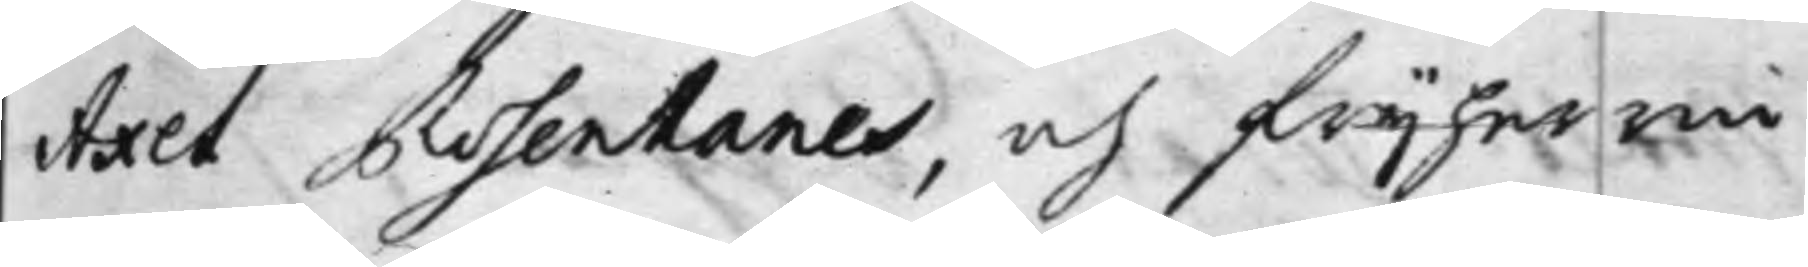Axel Rosenhanes, och frijherrin¬
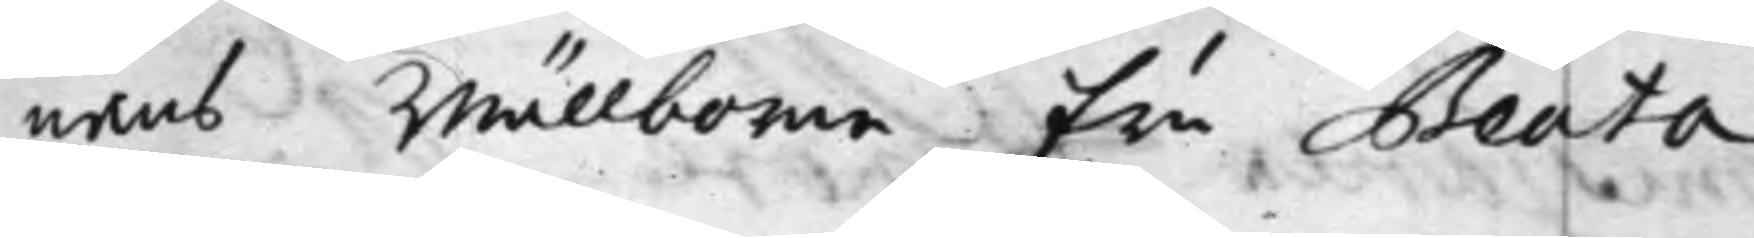nans Wällborne Fru Beata
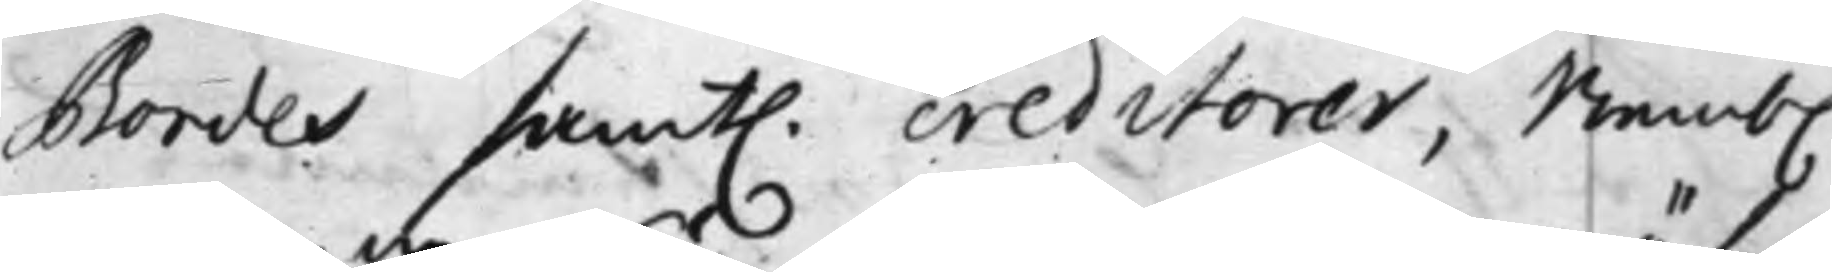Bondes samt. creditorer, Nemb.
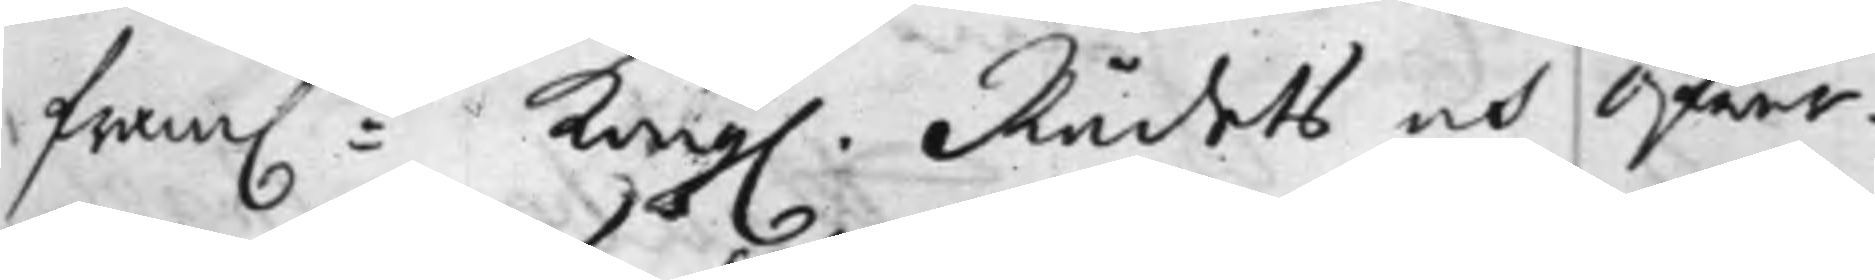fram:ne Kong. Rådets och Öfwer¬
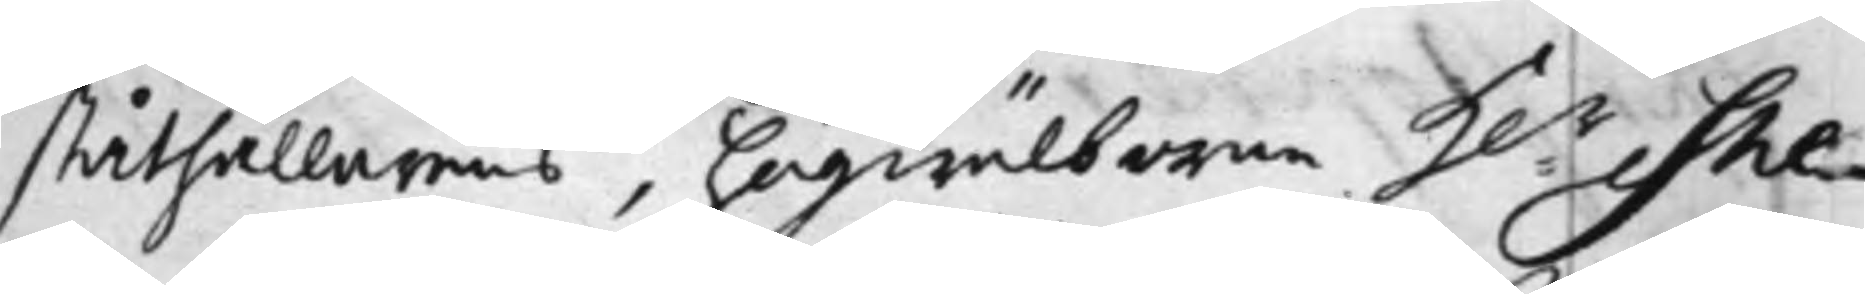ståthållarens, högwälborne H:r She¬
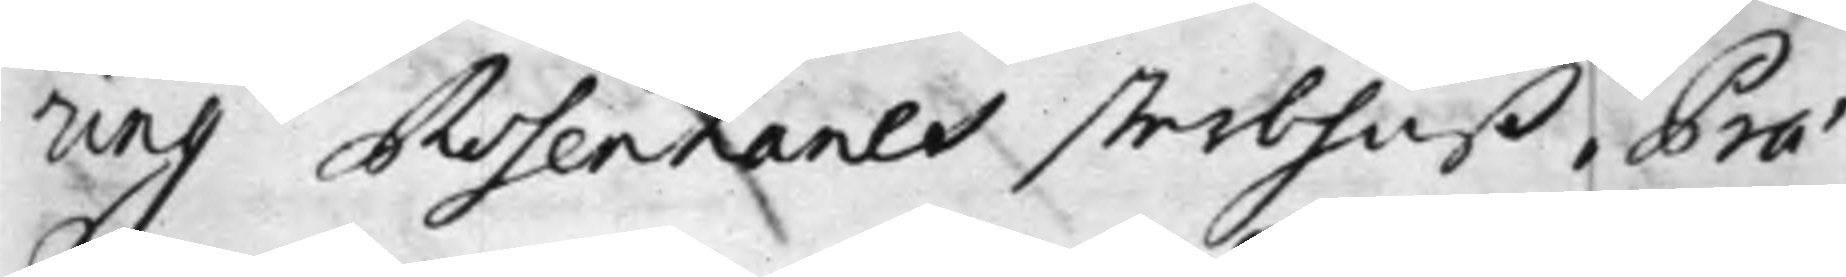ring Rosenhanes sterbhuß, Prae¬
